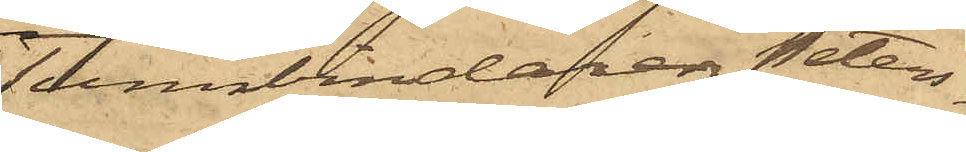Tunnbindaren Peters¬
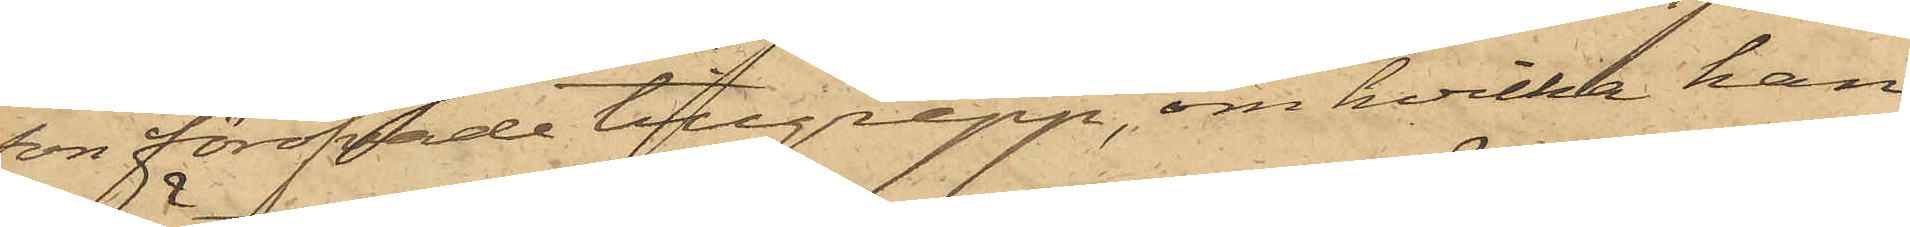son föröfvade tillgrepp, om hvilka han
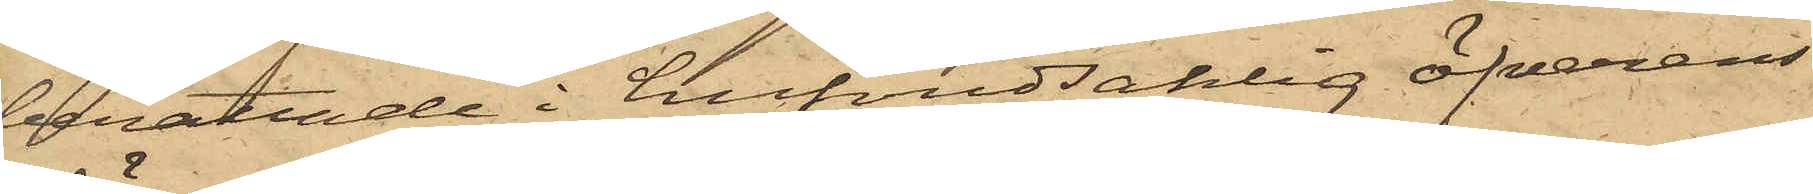berättade i hufvudsaklig öfverens¬
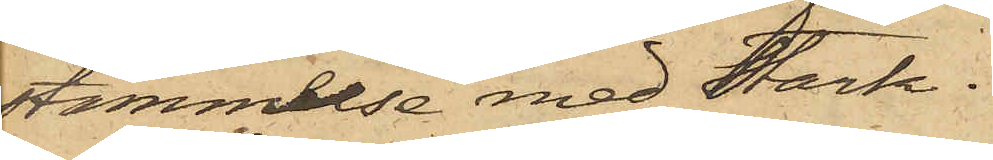stämmelse med Stark.
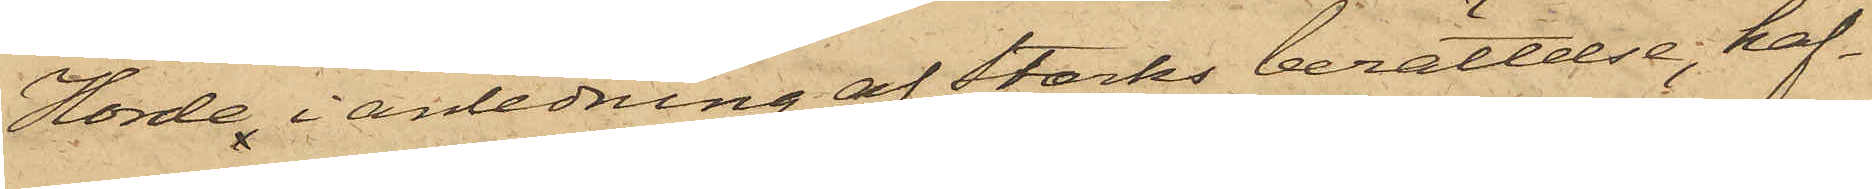Hörde, i anledning af Starks berättelse, haf¬
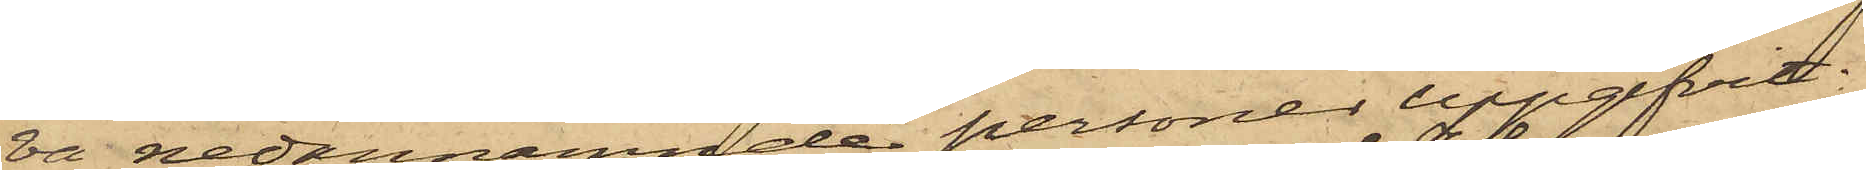va nedannämnde personer uppgifvit:
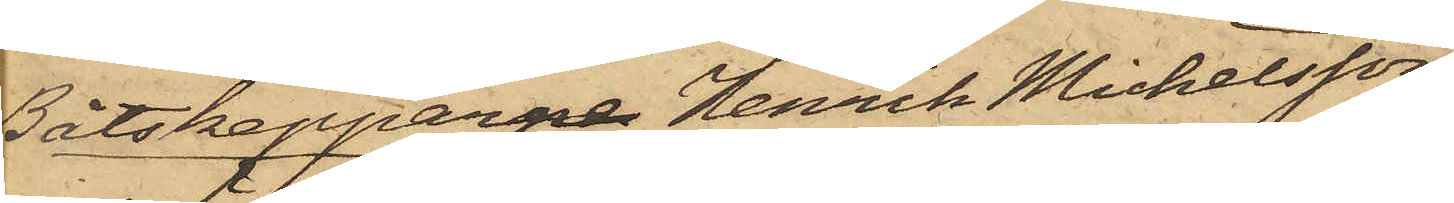Båtskepparne Henrik Michelsson
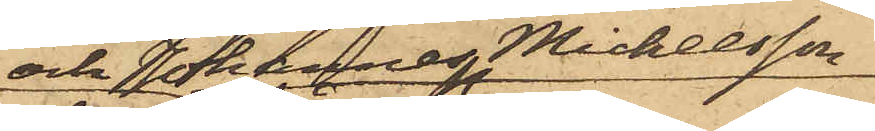och Johannes Michelsson
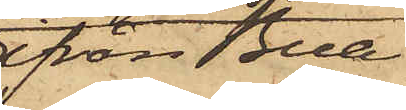ifrån Bua
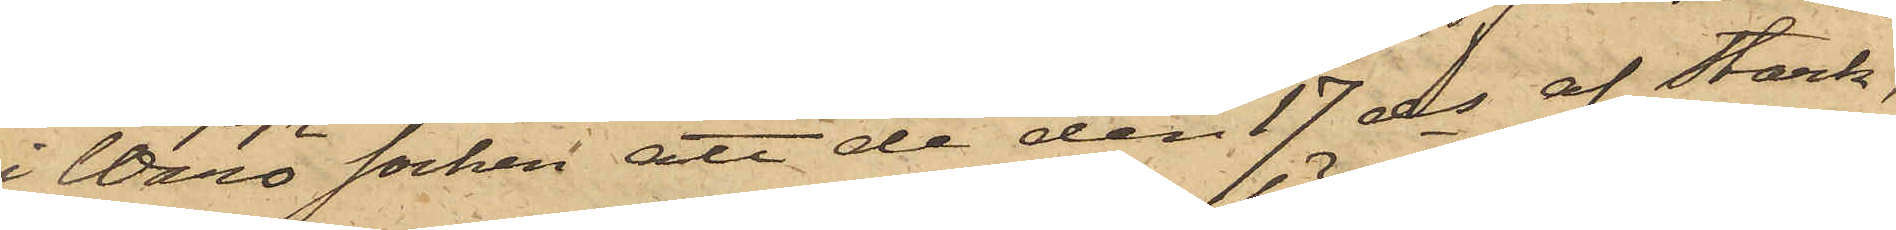i Wärö socken att de den 17 ds af Stark,
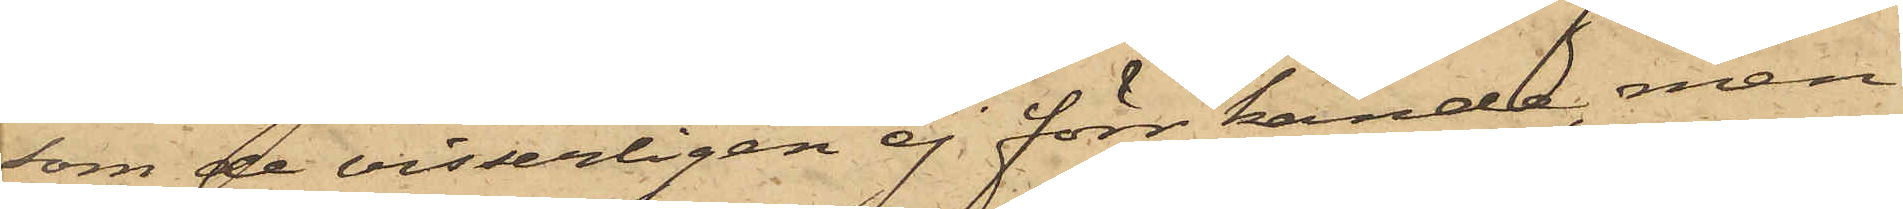som de visserligen ej förr kände, men
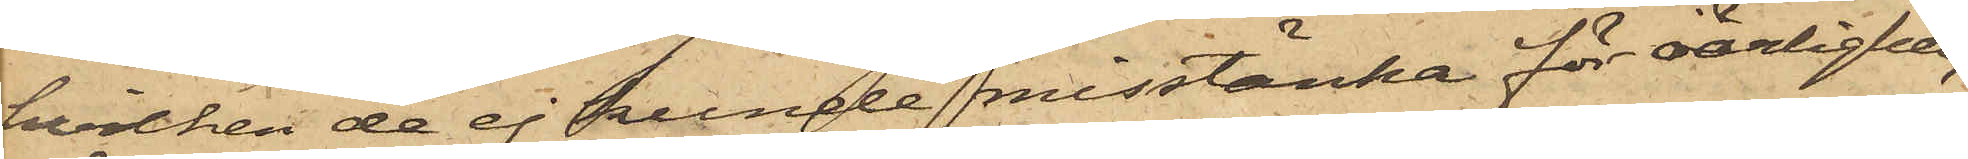hvilken de ej kunde misstänka för oärlighet,
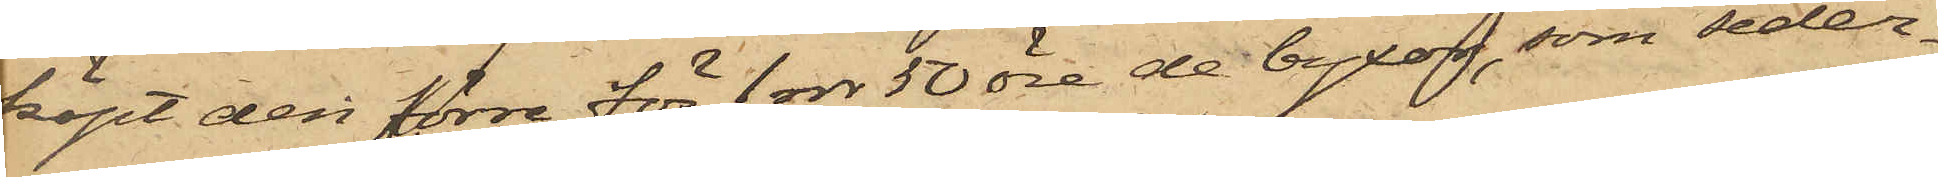köpt den förre för 1 rdr 50 öre de byxor, som seder¬
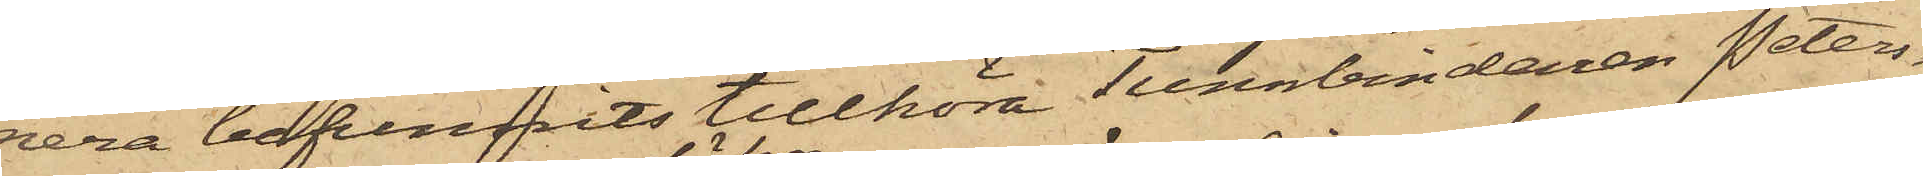mera befunnits tillhöra Tunnbindaren Peters¬
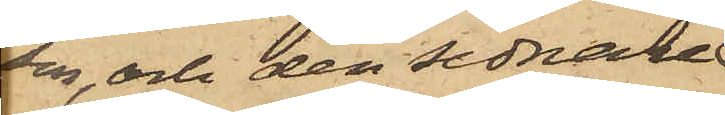ten, och den sednare
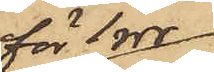för 1 rdr
